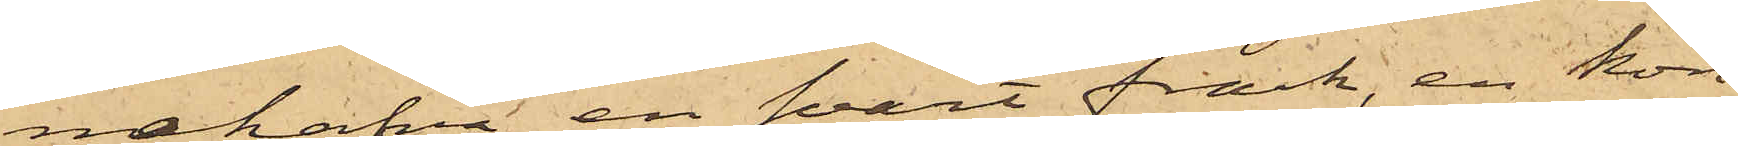nehafva en svart frack, en kon¬
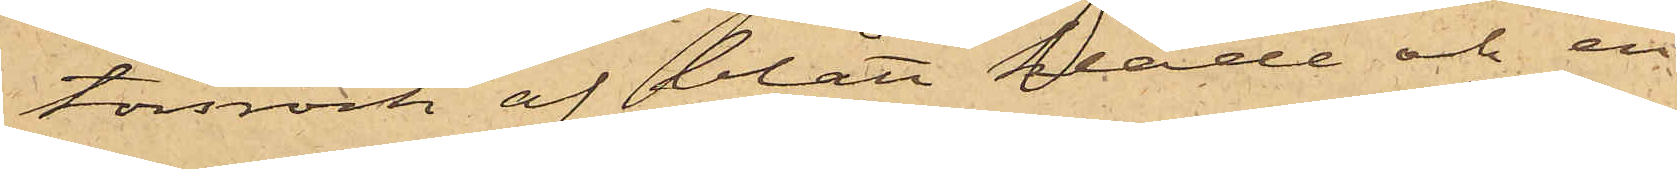torsrock af blått kläde och en
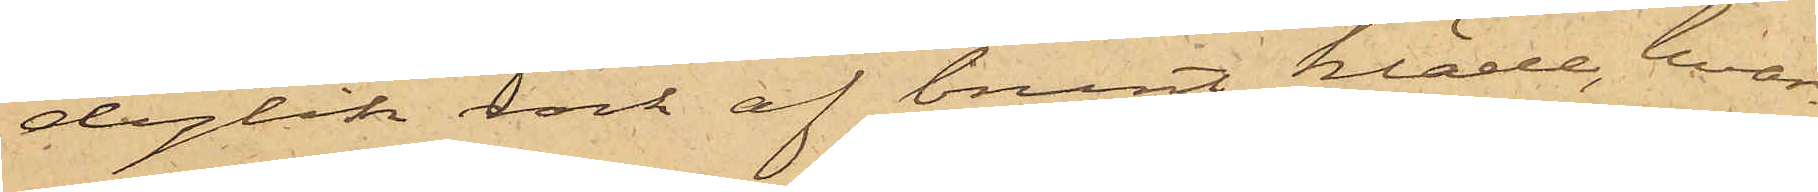dylik rock af brunt kläde, hvar¬
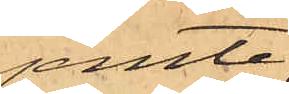jemte
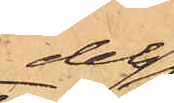dels
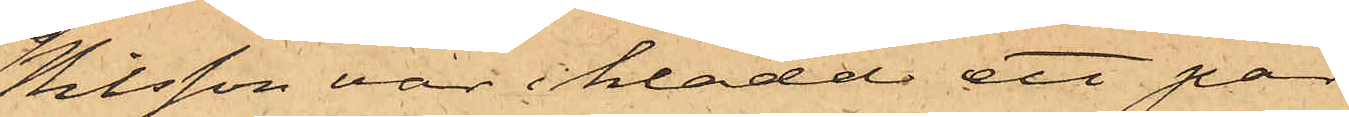Nilsson var iklädd ett par
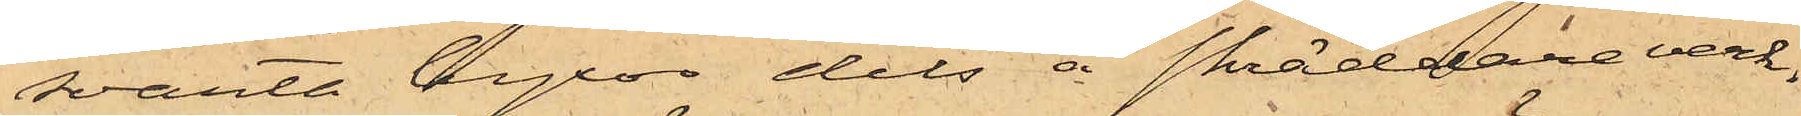svarta byxor dels å skräddareverk¬
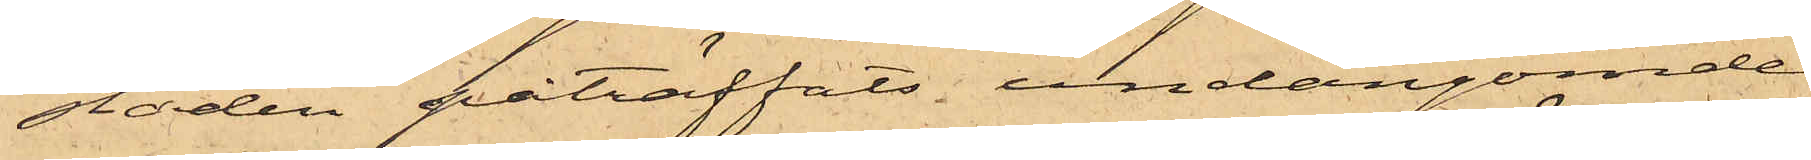staden påträffats undangömde
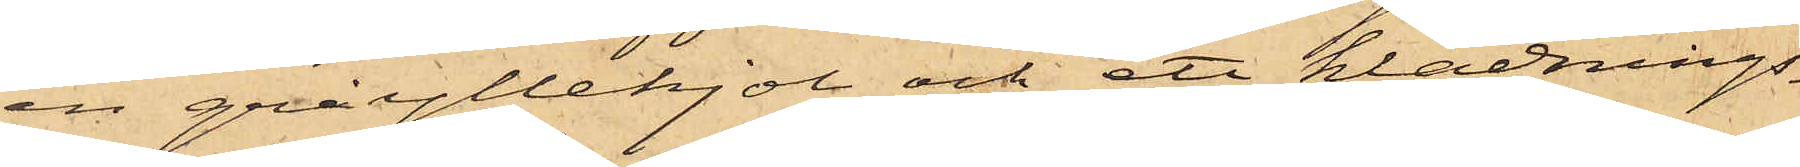en grå yllekjol och ett klädnings¬
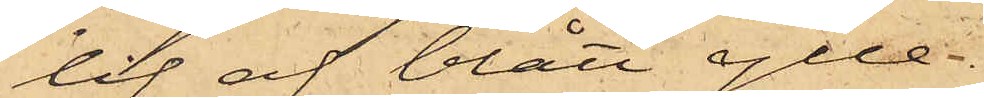lif af blått ylle.
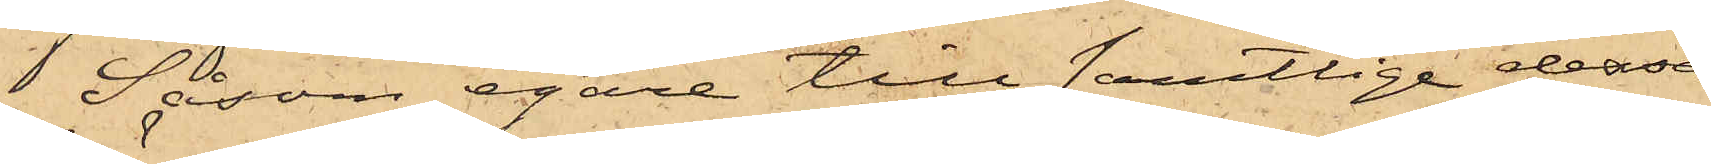Såsom egare till samtlige dessa
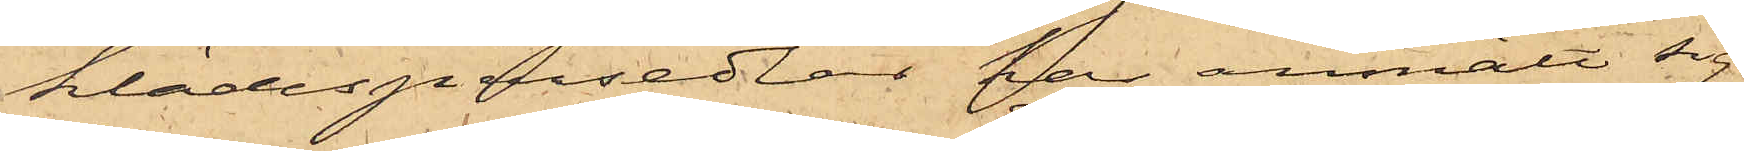klädespersedlar, har anmält sig
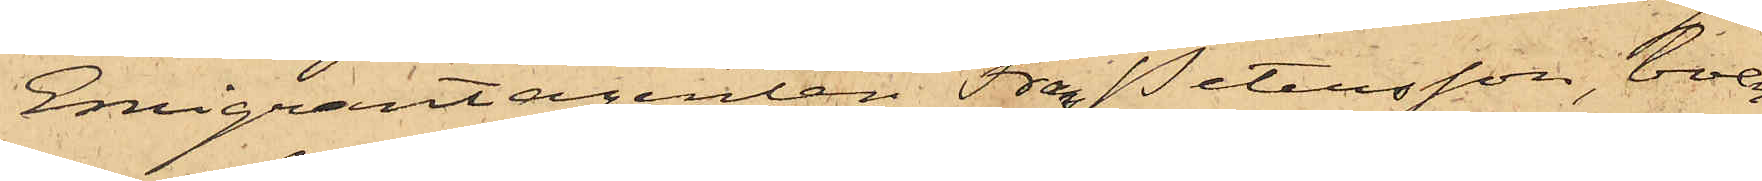Emigrantagenten Frans Petersson, boen¬
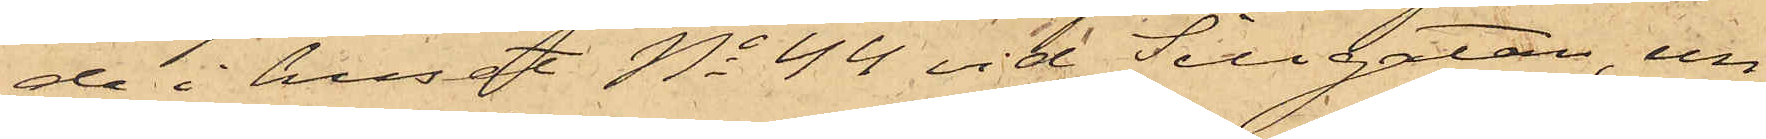de i huset No 44 vid Sillgatan, un¬
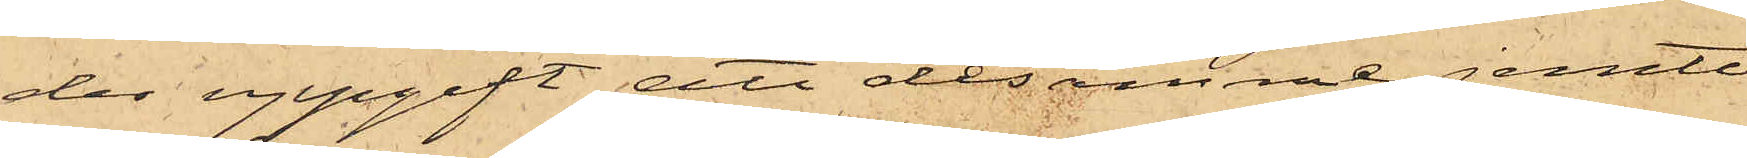der uppgift att desamme jemte
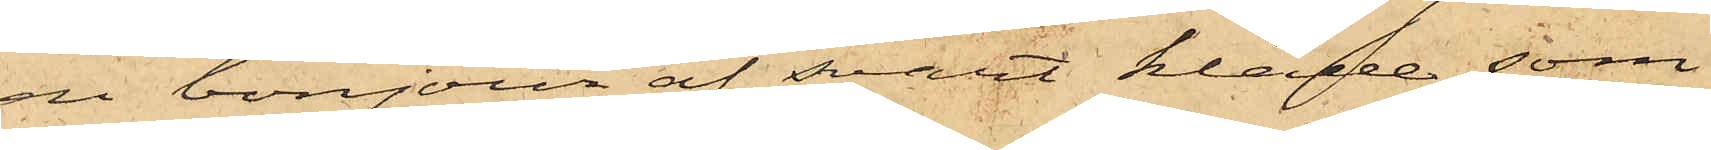en bonjour af svart kläde, som
